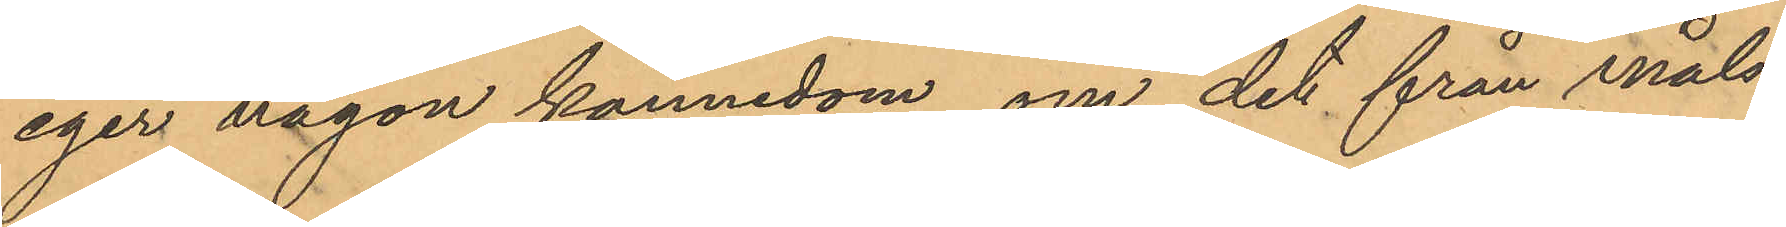eger någon kännedom om det från måls¬
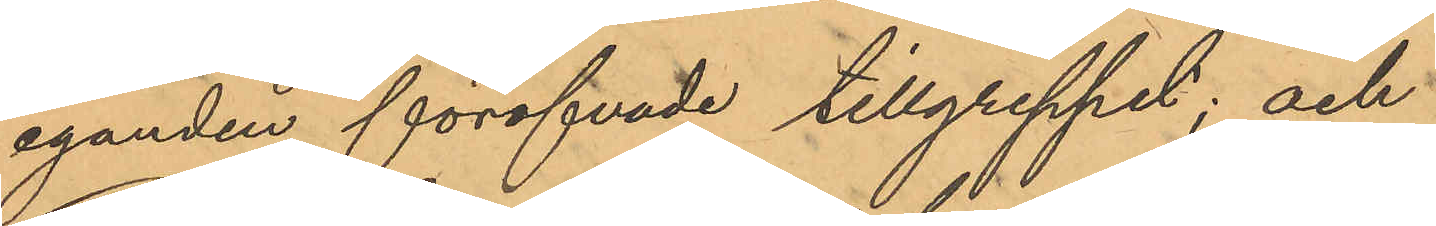äganden föröfvade tillgreppet; och
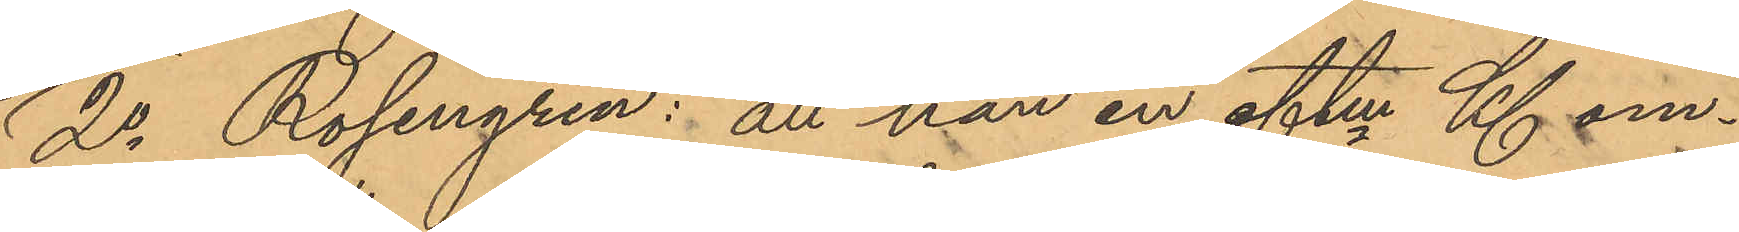2o Rosengren: att han en eftm Kl om¬
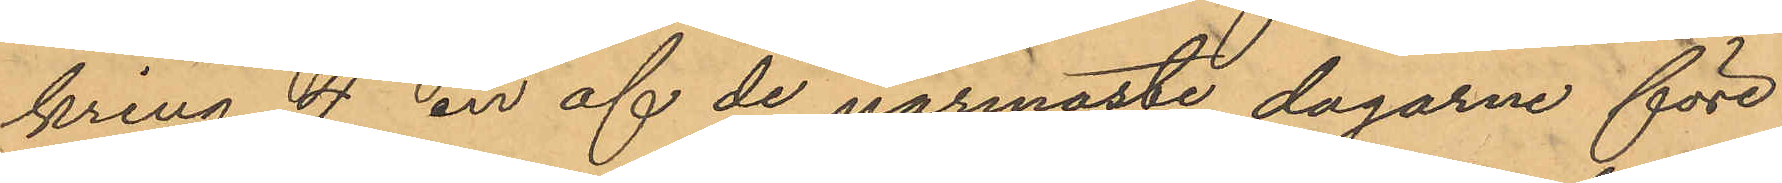kring 4 en af de närmaste dagarne före
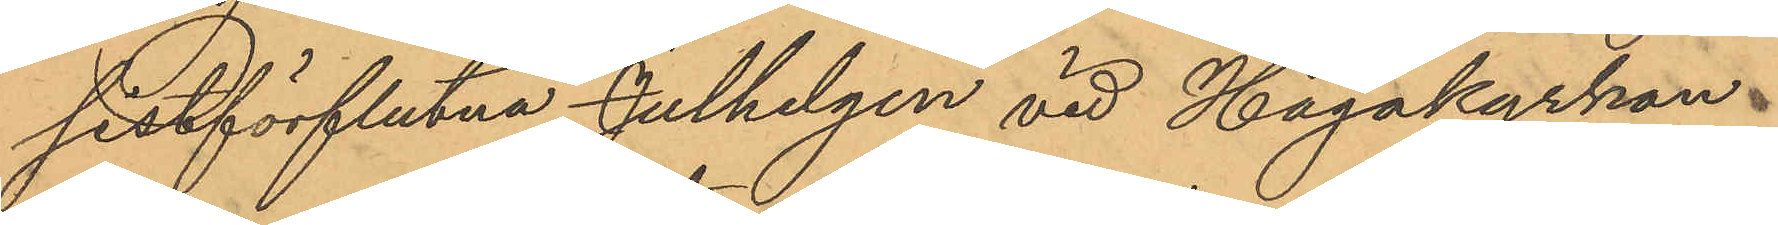sistförflutna Julhelgen vid Hagakyrkan
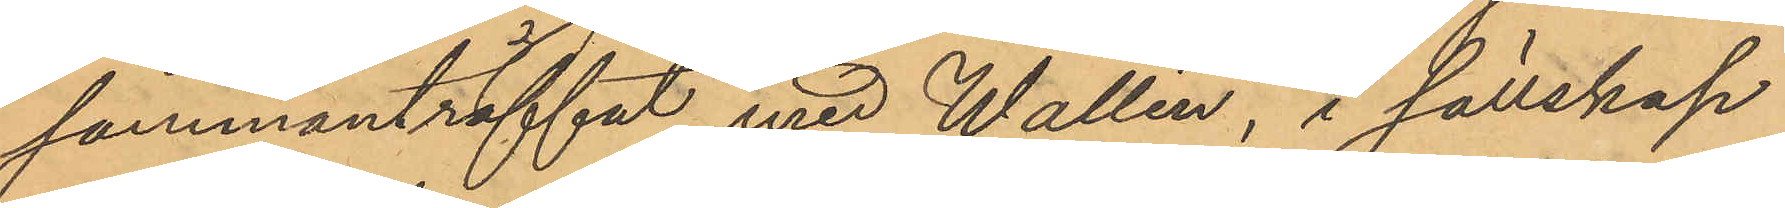sammanträffat med Wallin, i sällskap
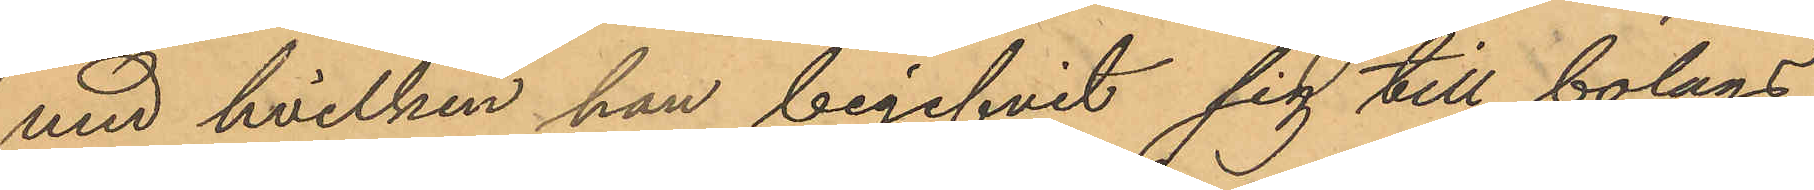med hvilken han begifvit sig till bolags¬
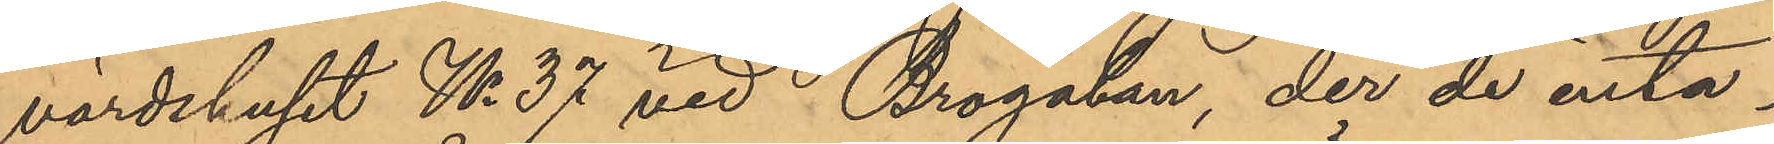värdshuset No 37 vid Brogatan, der de inta¬
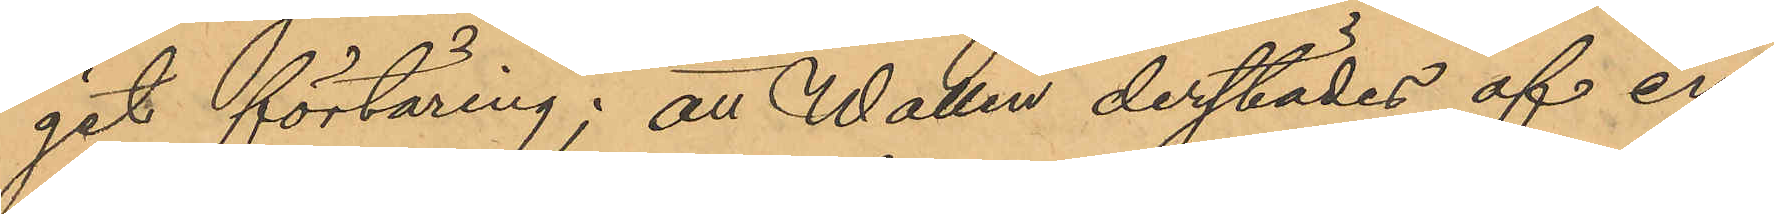git förtäring; att Wallin derstädes af en
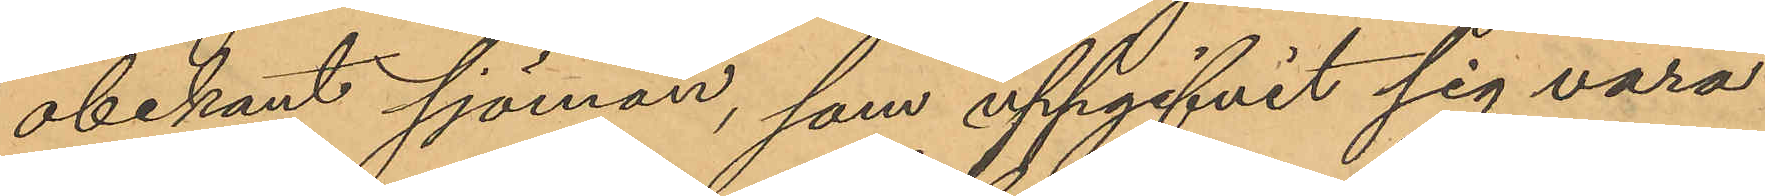obekant sjöman, som uppgifvit sig vara
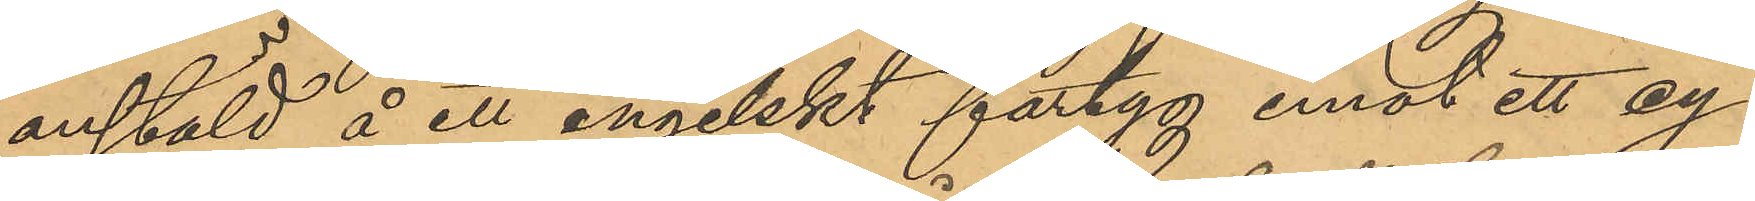anstäld å ett engelskt fartyg emot ett cy¬
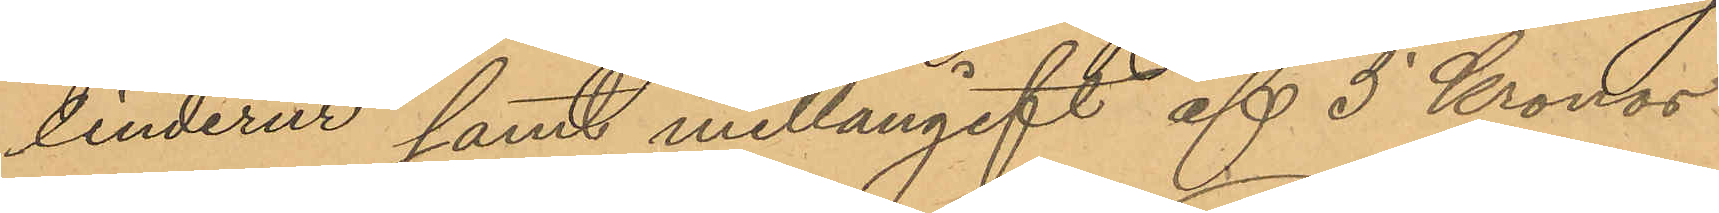linderur samt mellangift af 5 Kronor
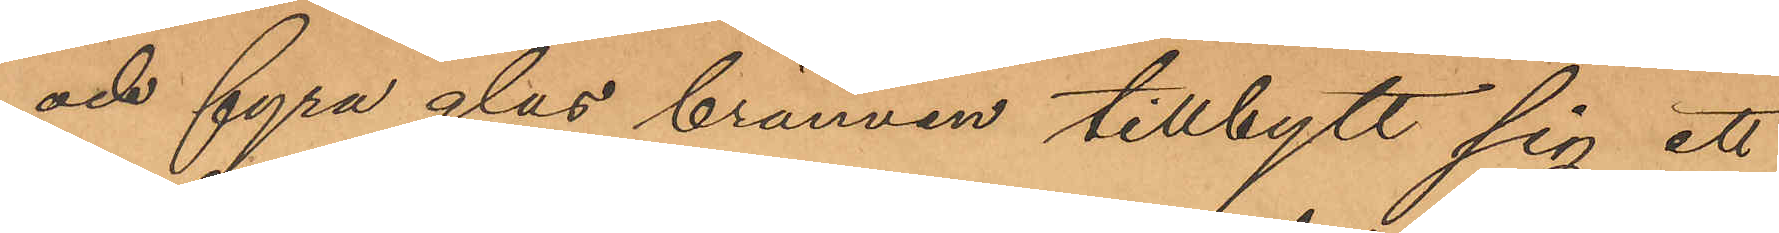och fyra glas brännvin tillbytt sig ett
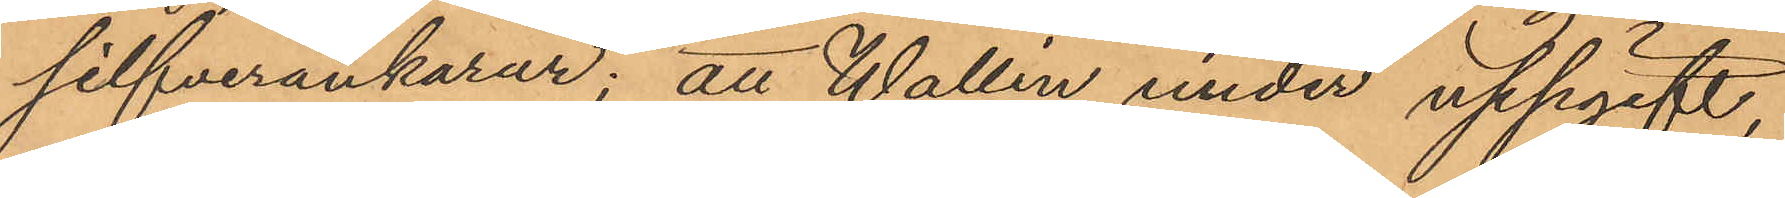silfverankarur; att Wallin under uppgift,
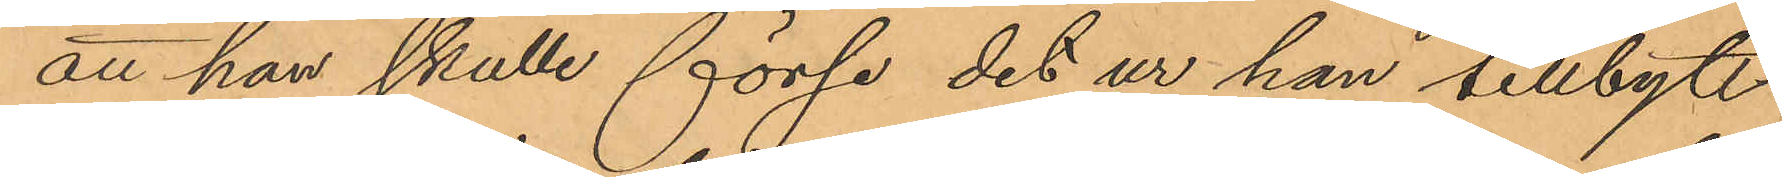att han skulle förse det ur han tillbytt
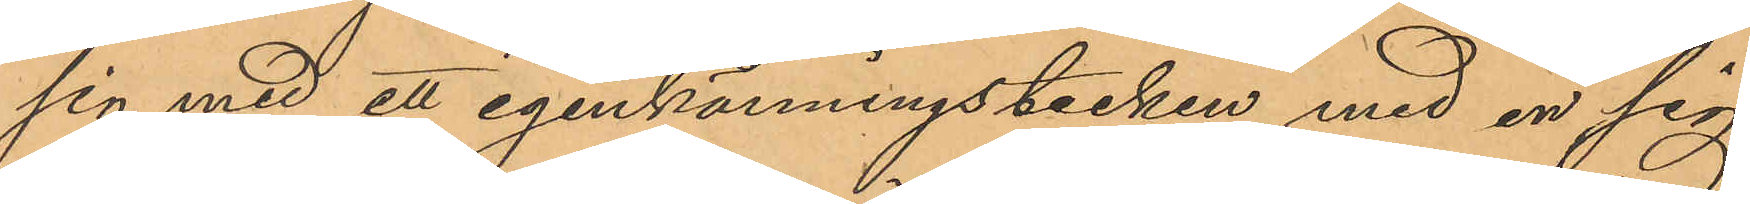sig med ett igenkänningstecken, med en sig
